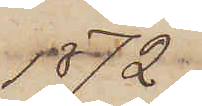1872.
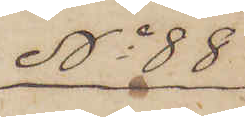No 88
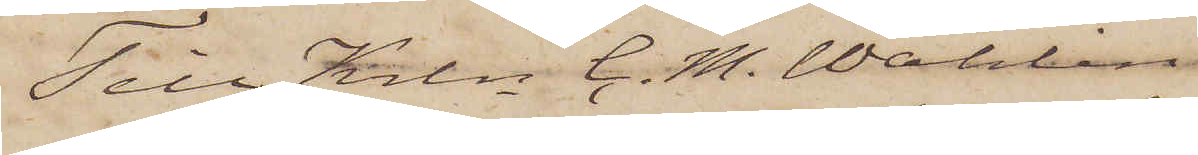Till Krln C. M. Wahlin
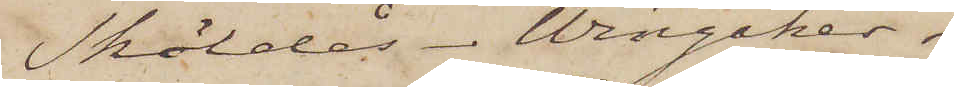Sköldås. Wingåker.
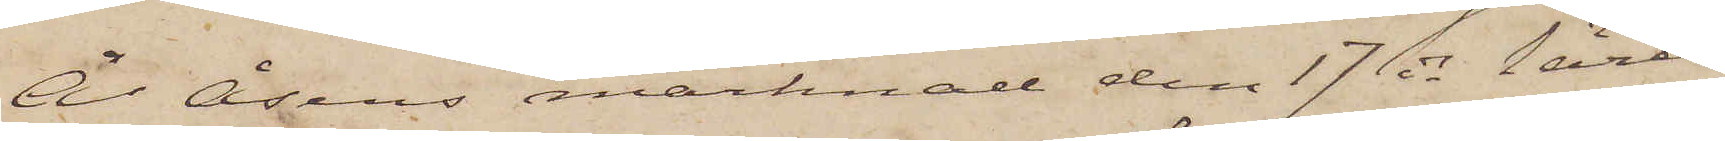Å Åsens marknad den 17 ds lärer
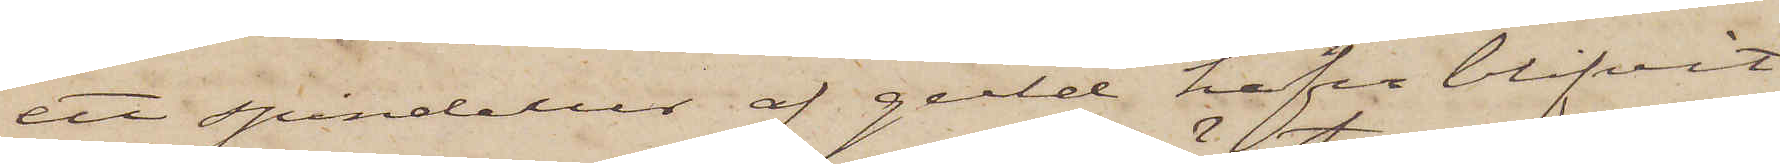ett spindelur af guld hafva blifvit
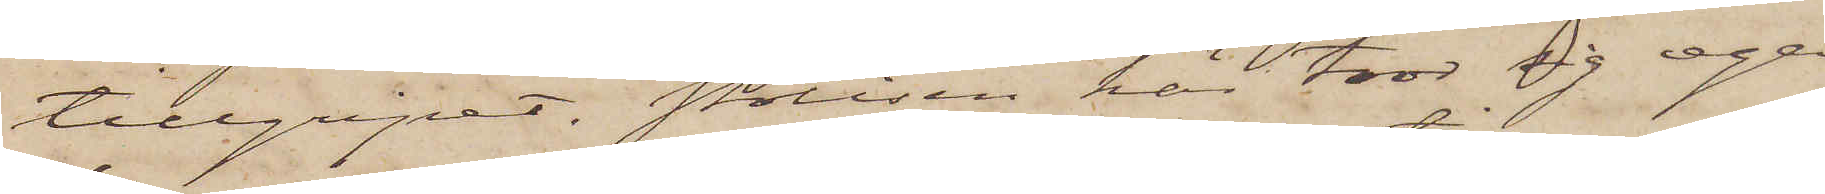tillgripet. Polisen här tror sig ega
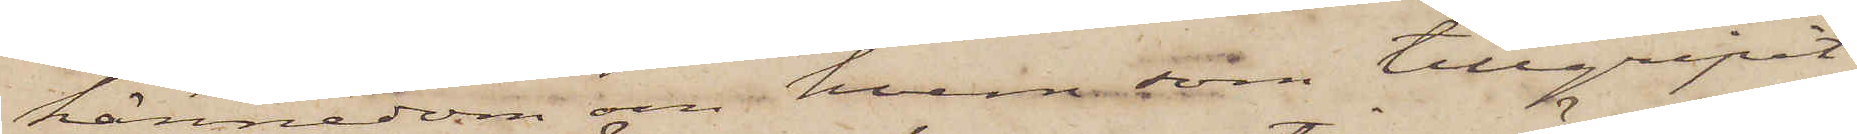kännedom om hvem som tillgripit
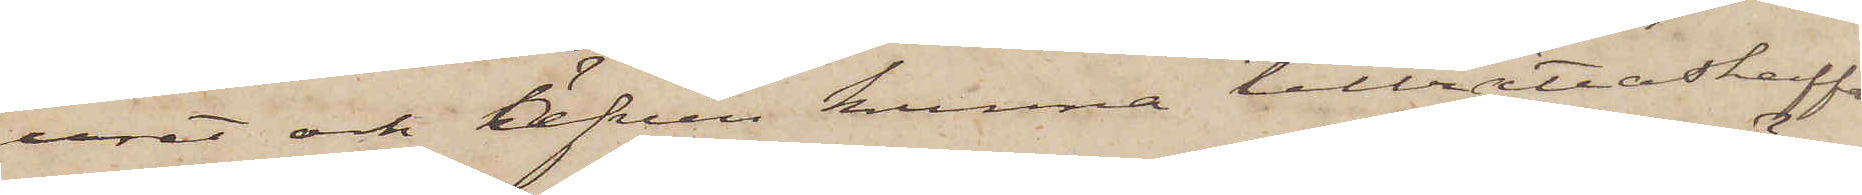uret och äfven kunna tillrättaskaffa
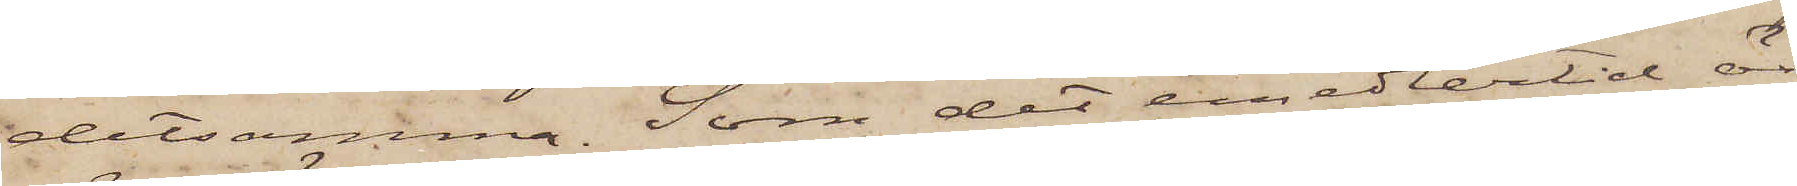detsamma. Som det emedlertid är
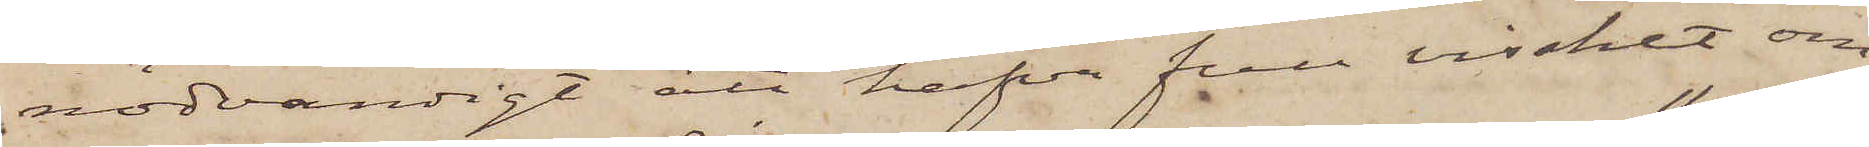nödvändigt att hafva full visshet om
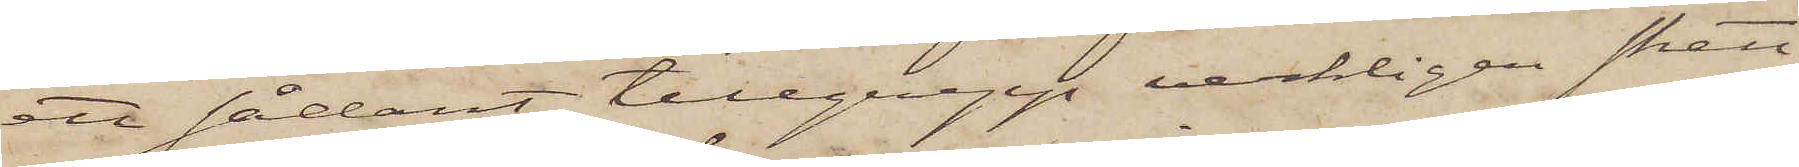ett sådant tillgrepp verkligen skett
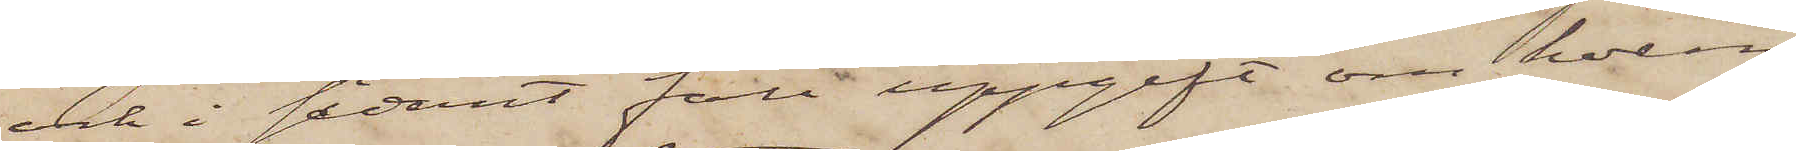och i sådant fall uppgift om hvem
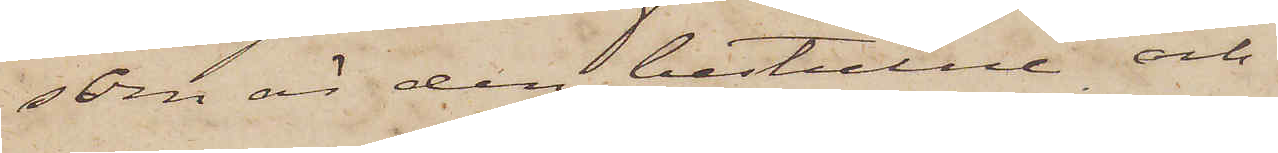som är den bestulne och
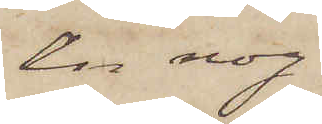en nog¬
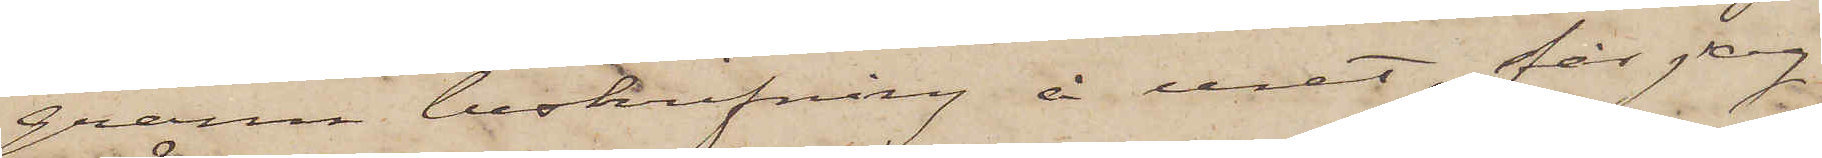grann beskrifning å uret, får jag
